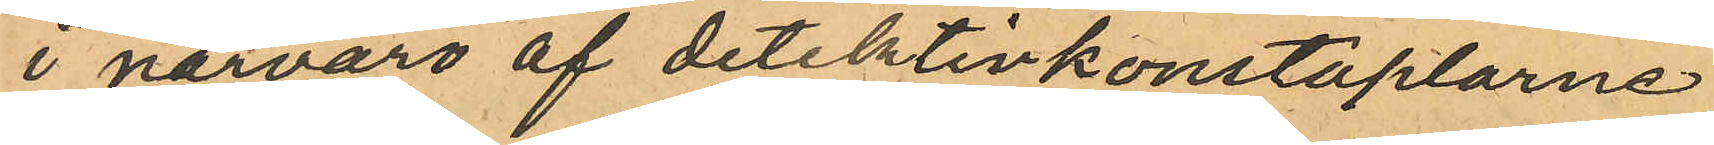i närvaro af detektivkonstaplarne
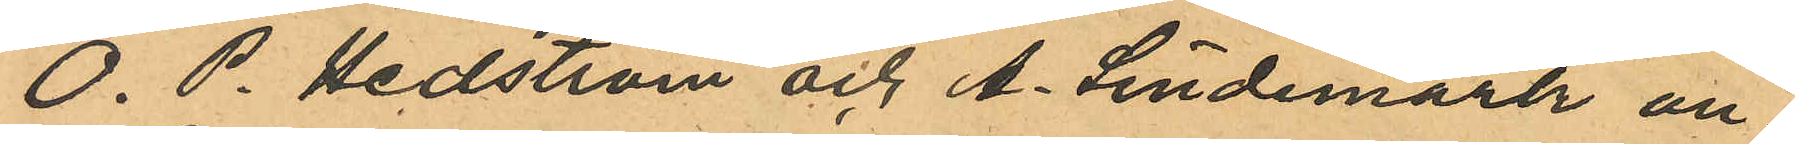O. P. Hedström och A. Lindemark an¬
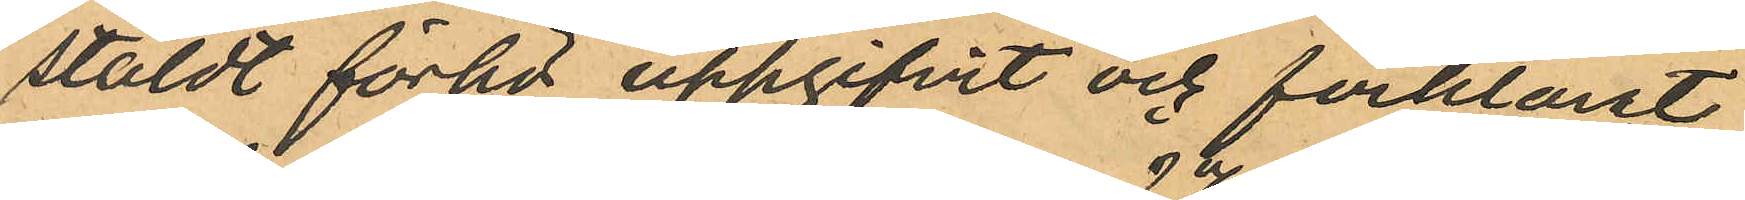stäldt förhör uppgifvit och förklarat
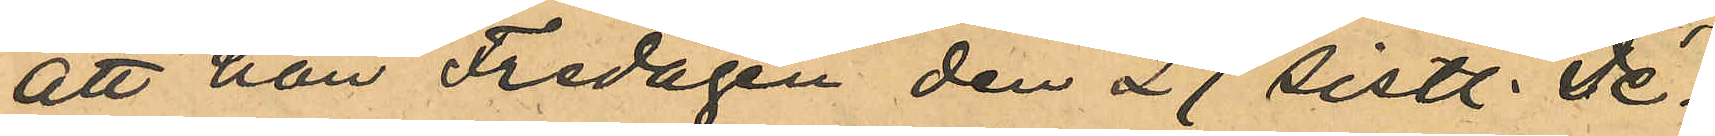att han Fredagen den 27 sistl. De¬
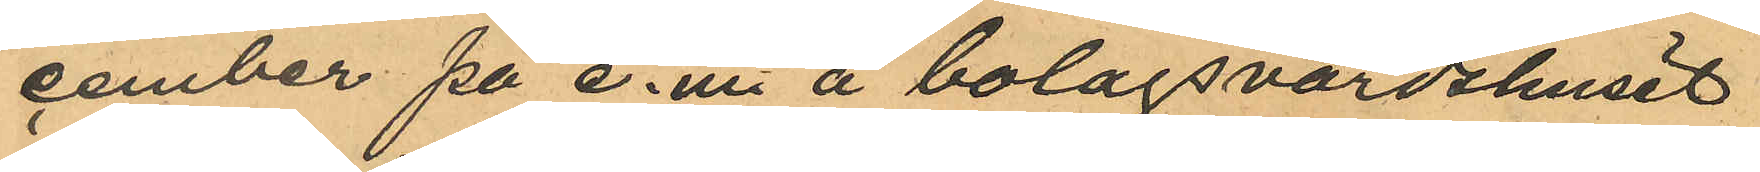cember på e.m. å bolagsvärdshuset
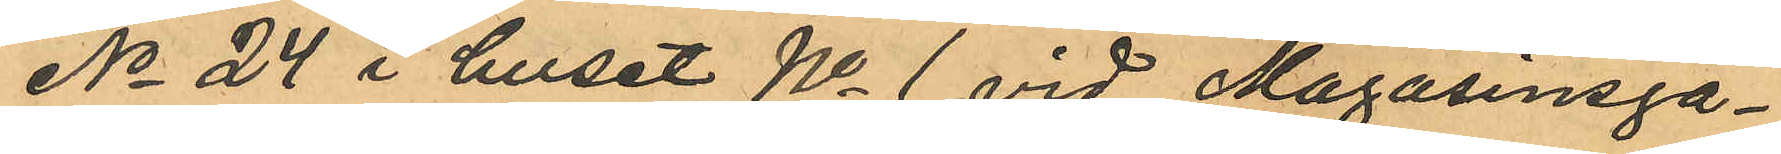No 24 i huset No 1 vid Magasinsga¬
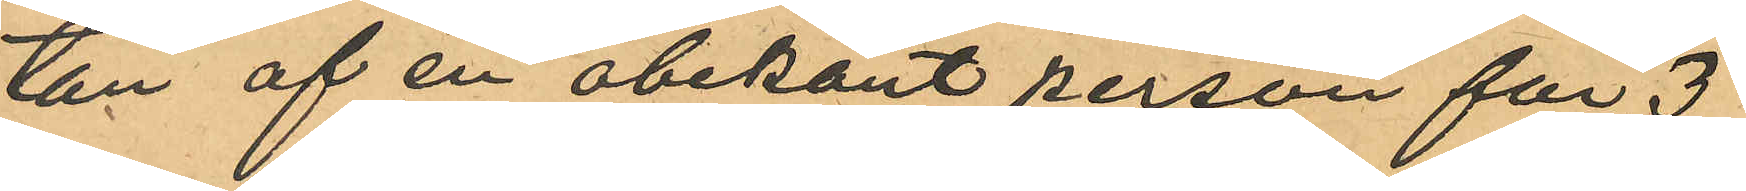tan af en obekant person för 3
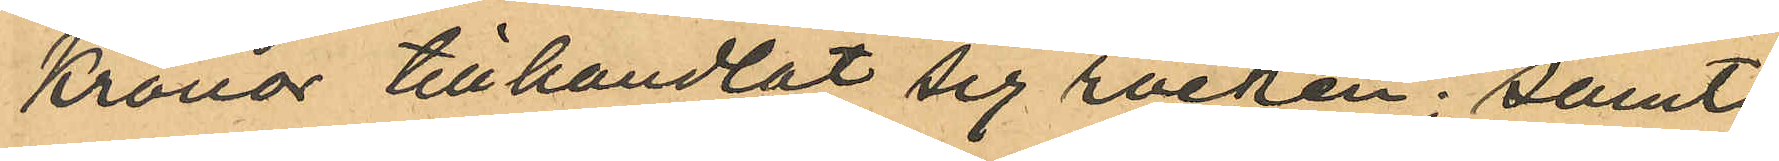Kronor tillhandlat sig rocken; samt
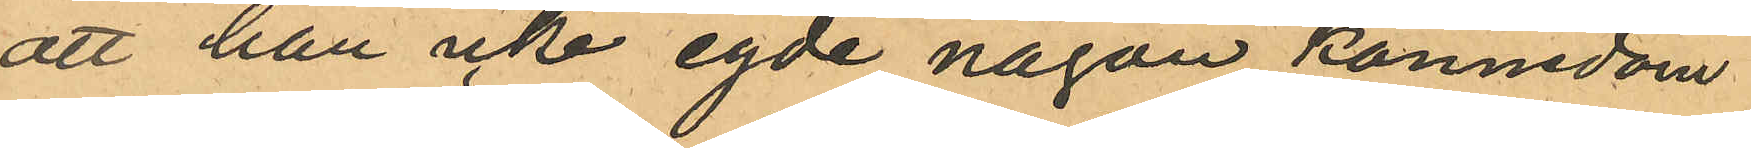att han icke egde någon kännedom
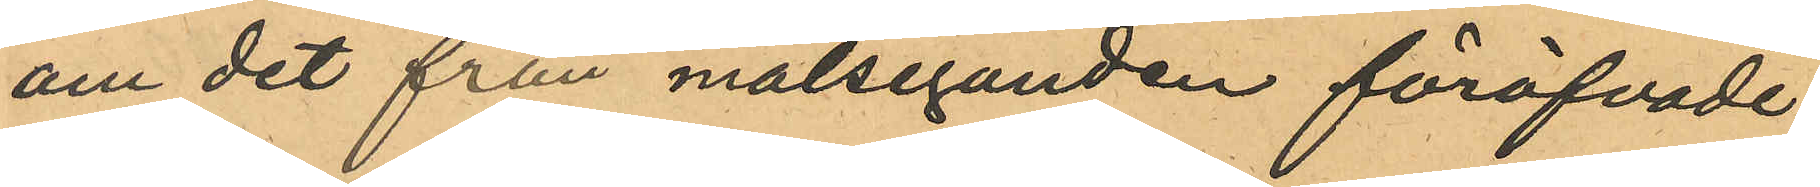om det från målseganden föröfvade
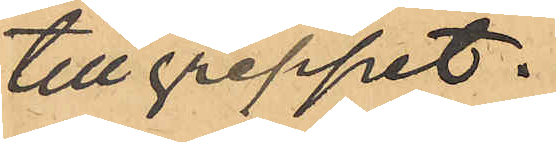tillgreppet.
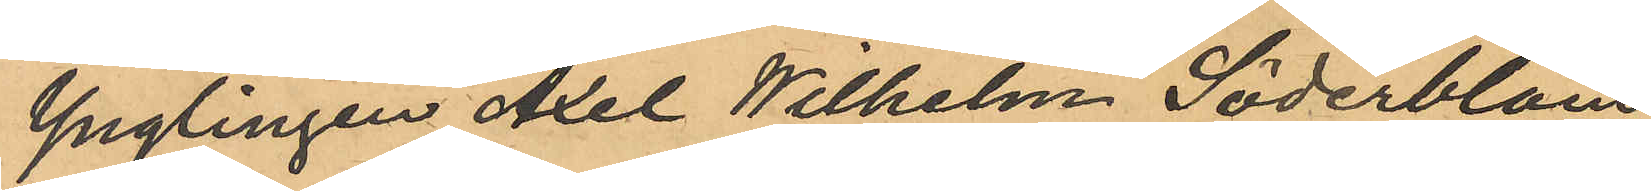Ynglingen Axel Wilhelm Söderblom
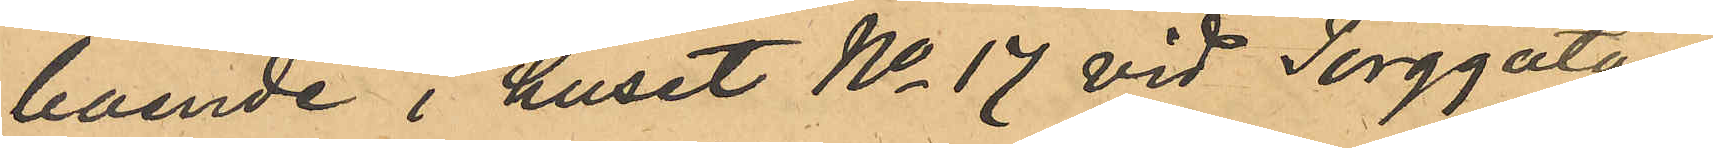boende i huset No 17 vid Torggatan
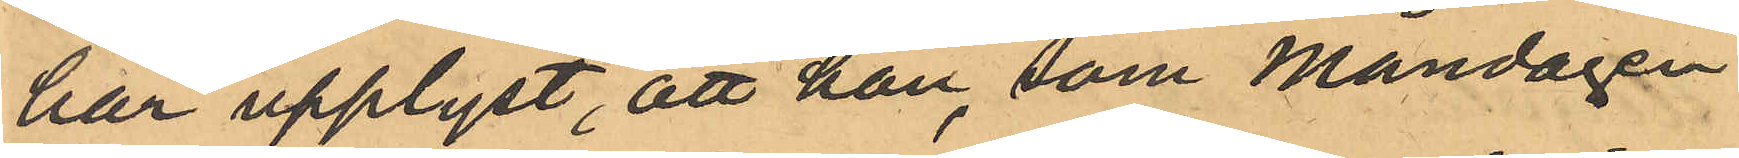har upplyst, att han, som Måndagen
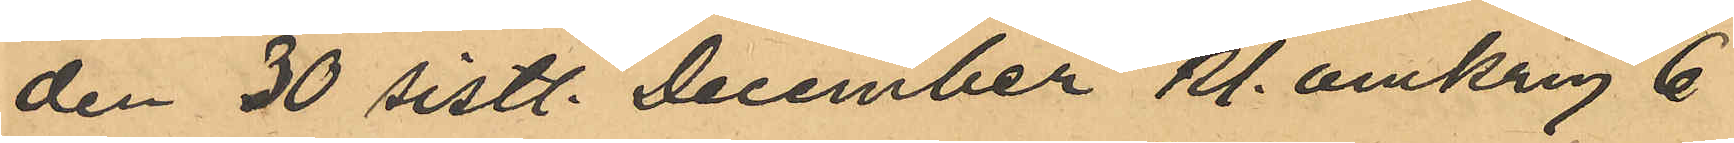den 30 sistl. December kl. omkring 6
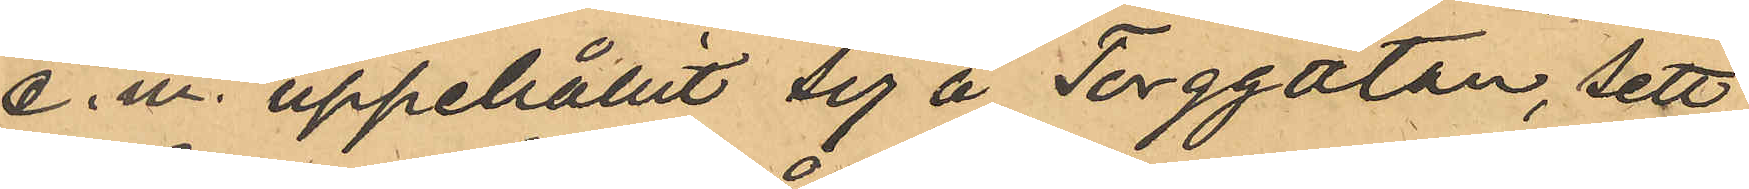e.m. uppehållit sig å Torggatan, sett
